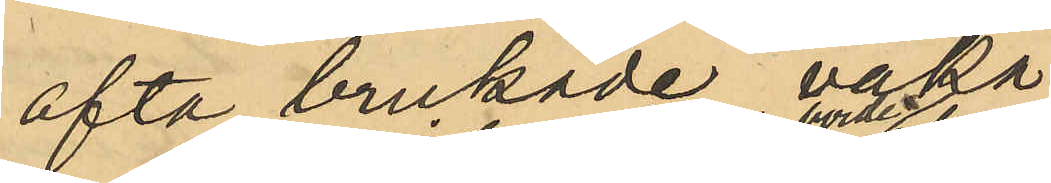ofta brukade vaka
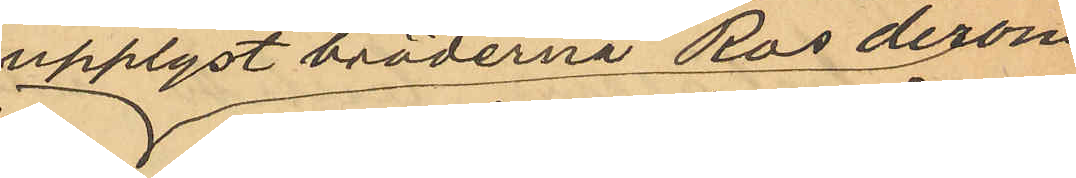upplyst bröderne Ros derom
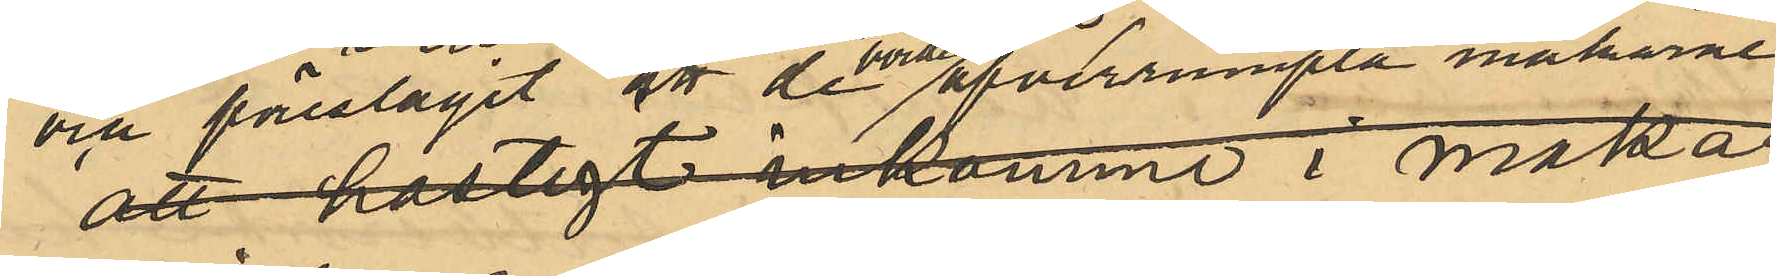och föreslagit att de borde öfverrumpla makarne
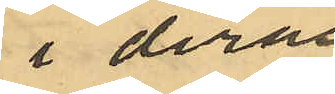i deras
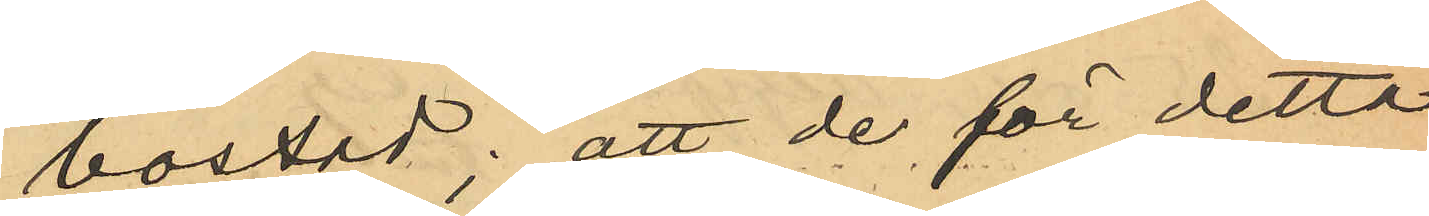bostad; att de för detta
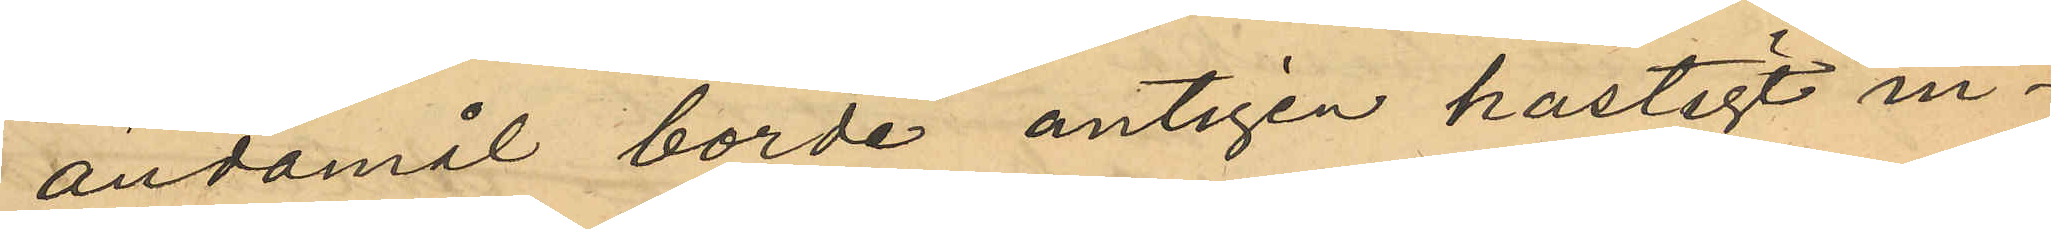ändamål borde antigen hastigt in¬
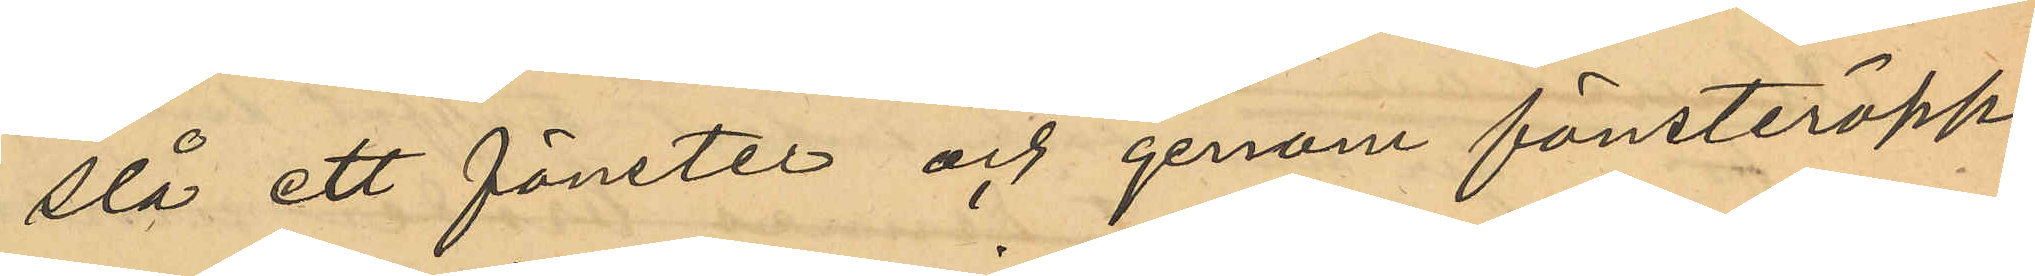slå ett fönster och genom fönsteröpp¬
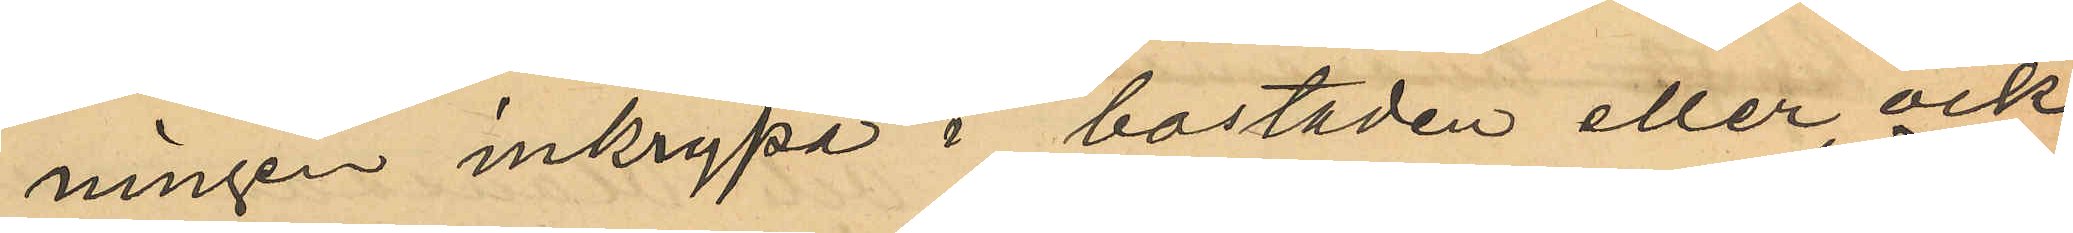ningen inkrypa i bostaden eller ock
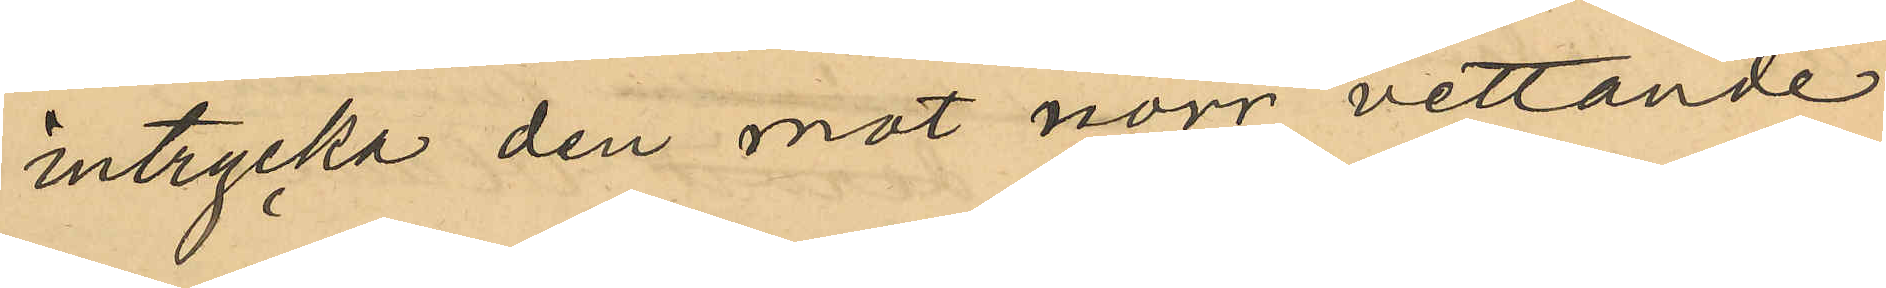intrycka den mot norr vettande
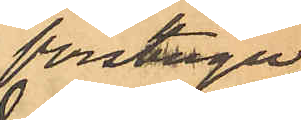förstuge¬
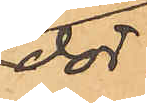dör¬
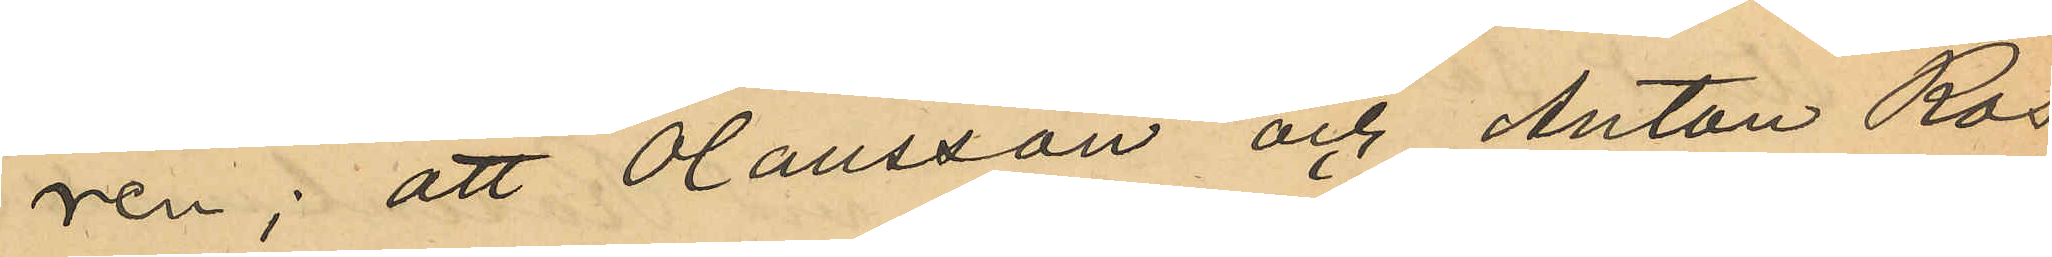ren; att Olausson och Anton Ros,
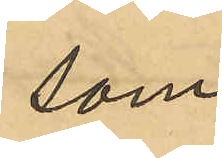som 
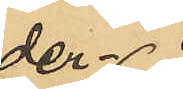der¬
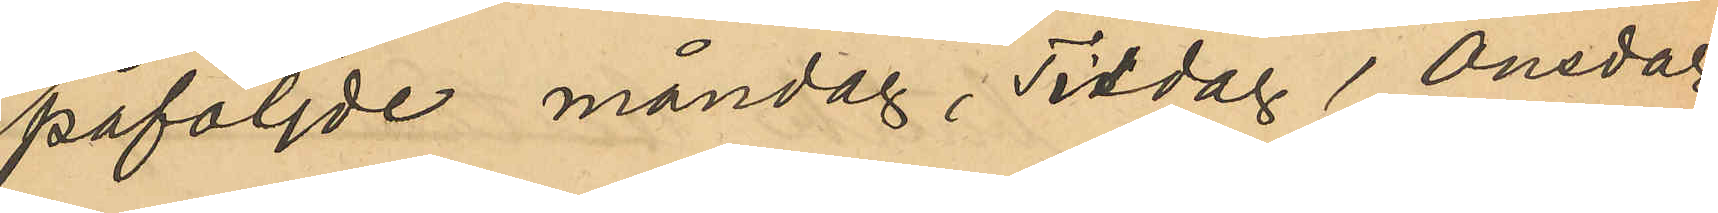påföljde måndag, Tisdag, Onsdag
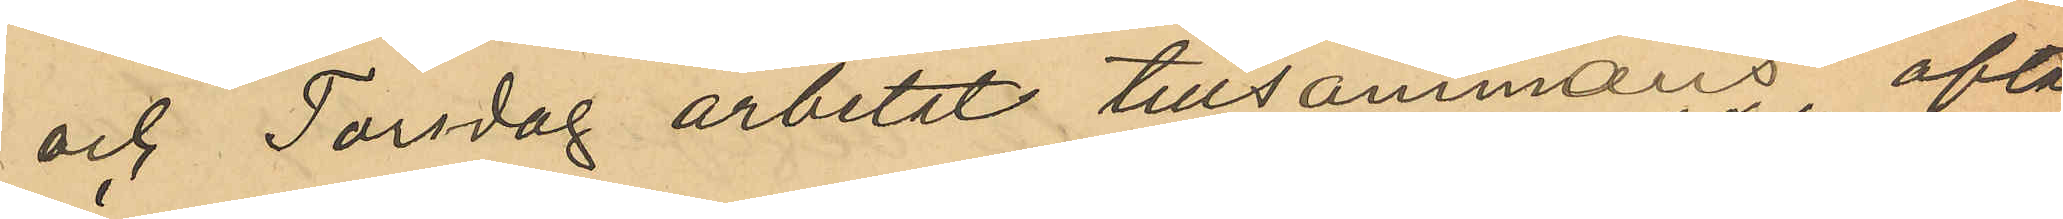och Torsdag arbetat tillsammans ofta
